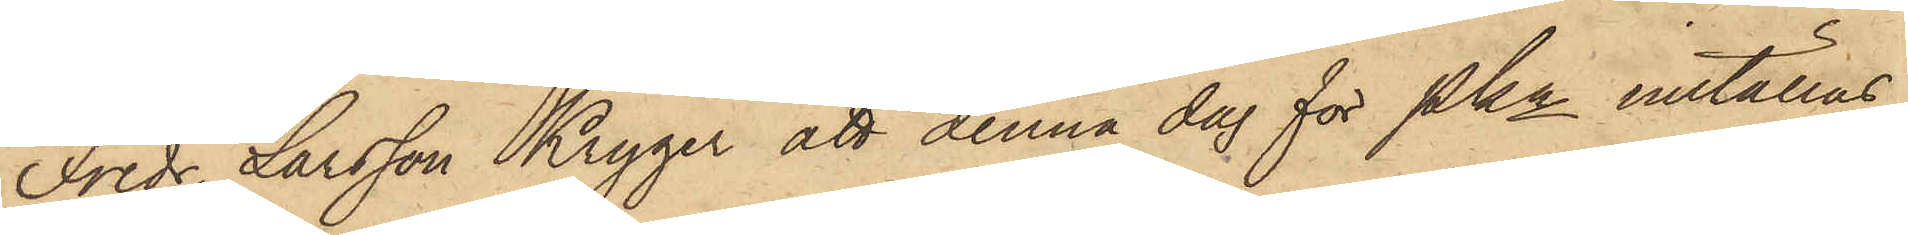Fredr. Larsson Kryger att denna dag för Pkn inställas.
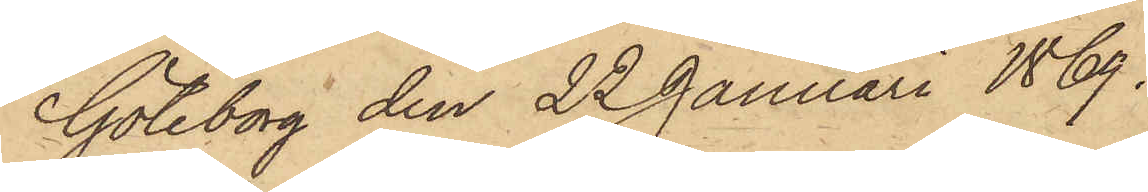Göteborg den 22 Januari 1869.
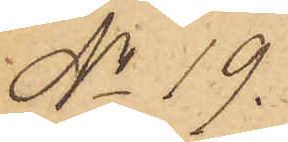No 19.
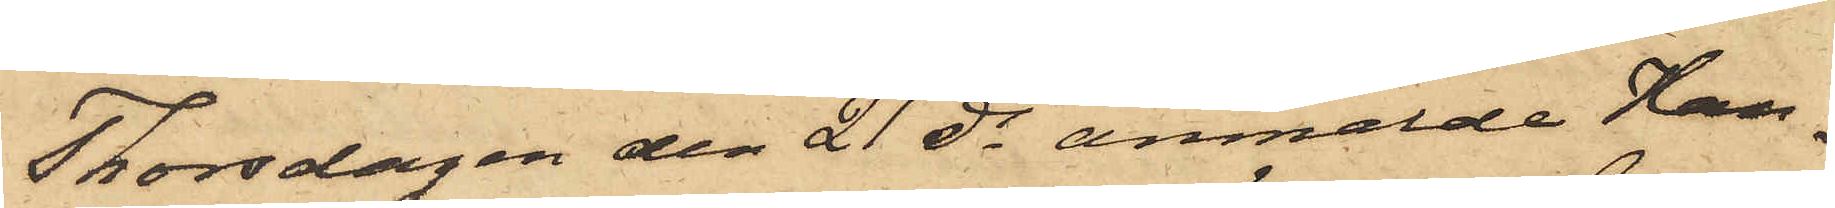Thorsdagen den 21 ds anmälde Han¬
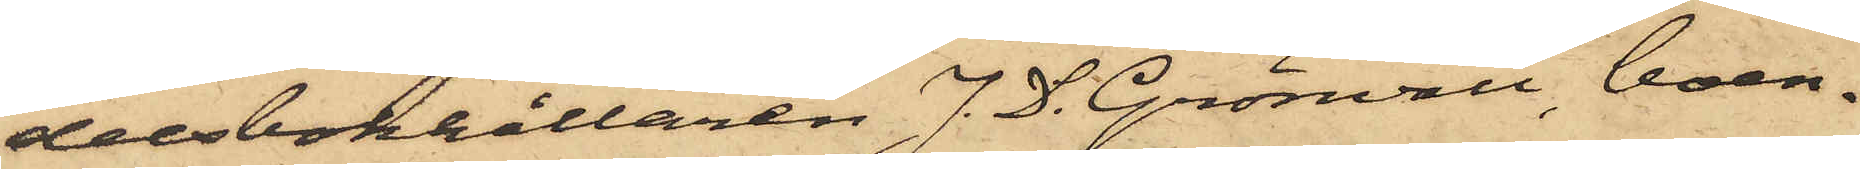delsbokhållaren J. D. Grönvall, boen¬
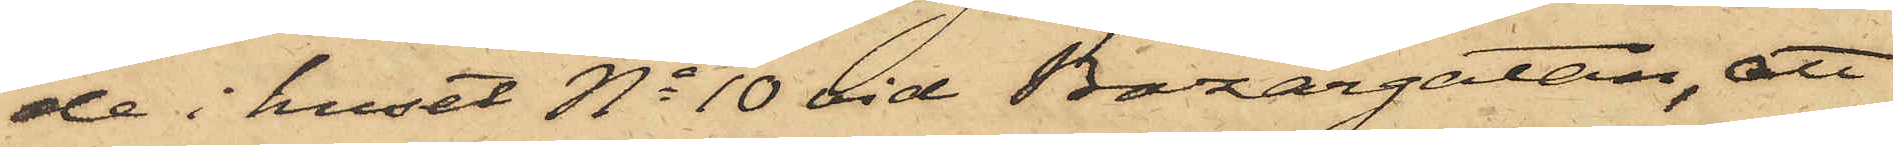de i huset No 10 vid Bazargatan, att
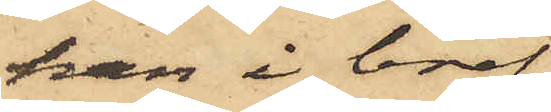han i bref
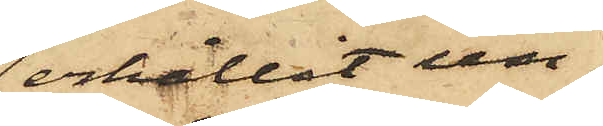erhållit un¬
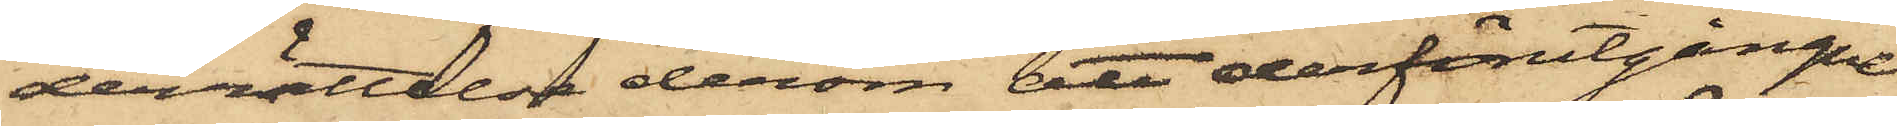derrättelse derom att derförutgångne
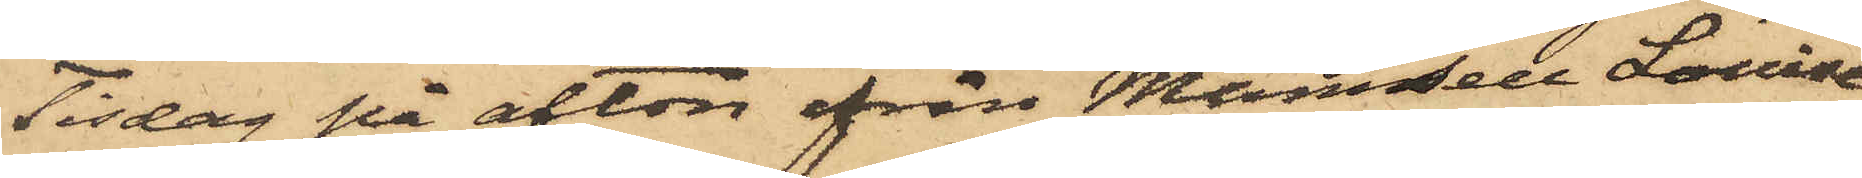Tisdag på afton från Mamsell Louise
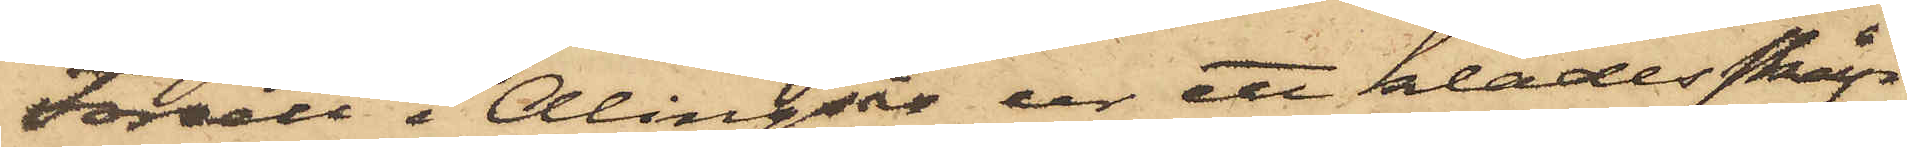Forsell i Alingsås ur ett klädesskåp
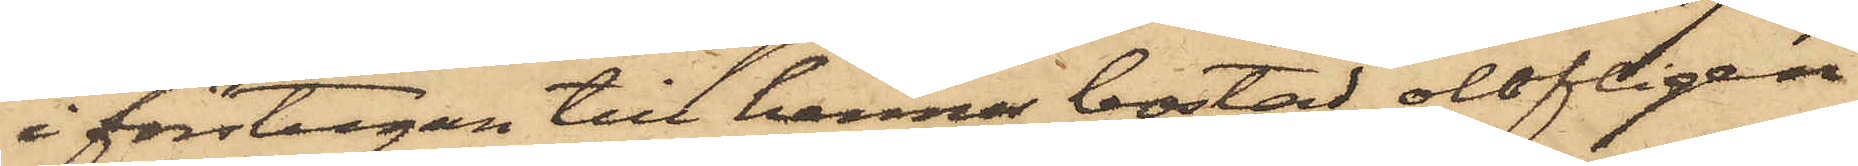i förstugan till hennes bostad olofligen
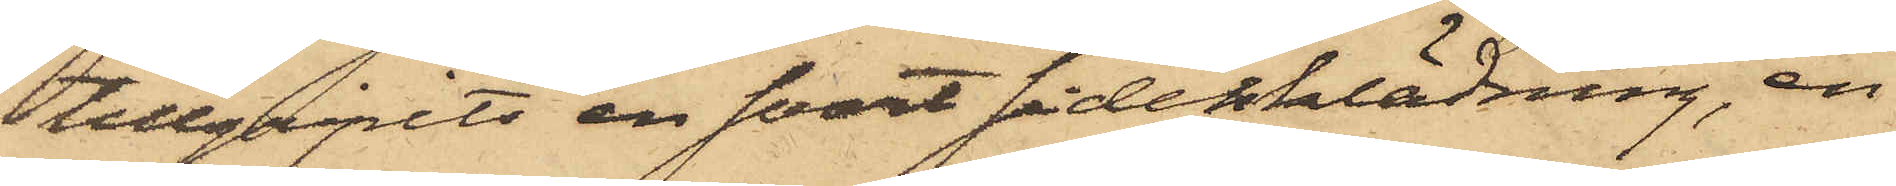tillgripits en svart sidenklädning, en
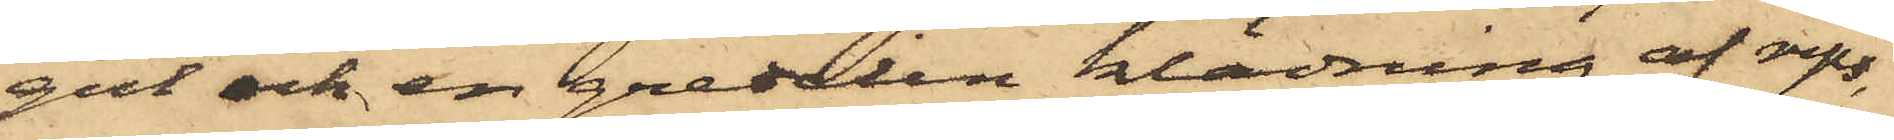gul och en gredelin klädning af rips,
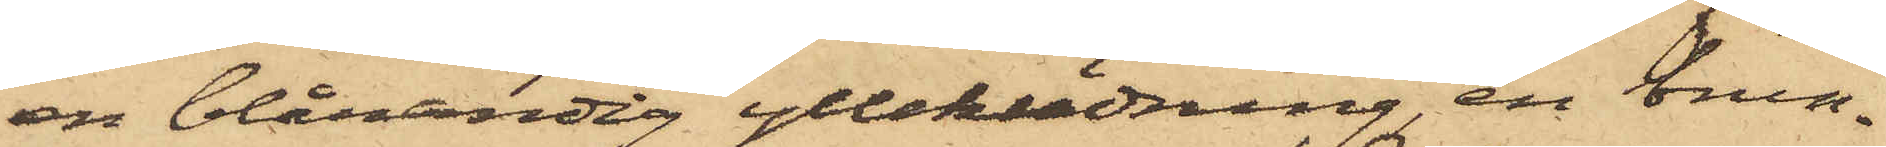en blårandig ylleklädning, en brun¬
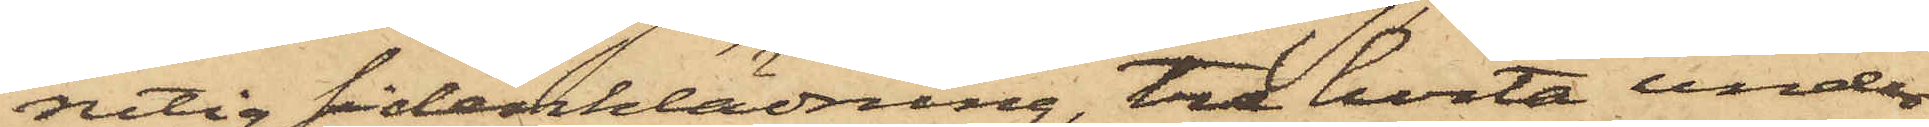rutig sidenklädning, tre hvita under¬
